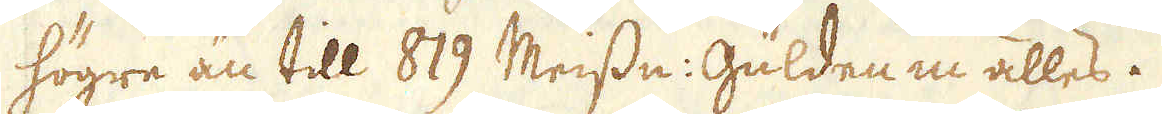högre än till 819 Meissn: Gulden in alles.
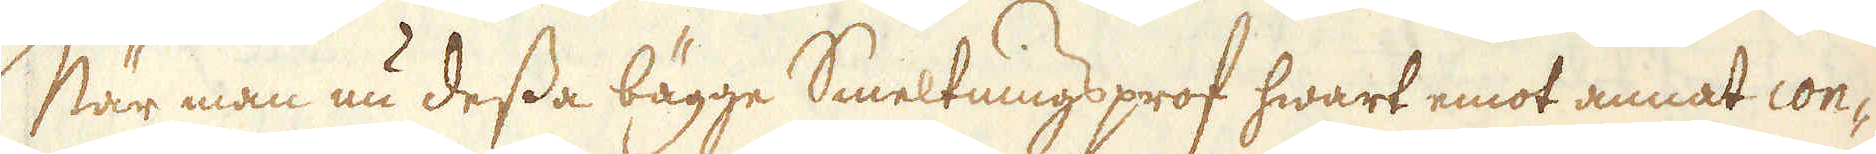När man nu dessa bägge Smeltnings prof hwart emot annat con-
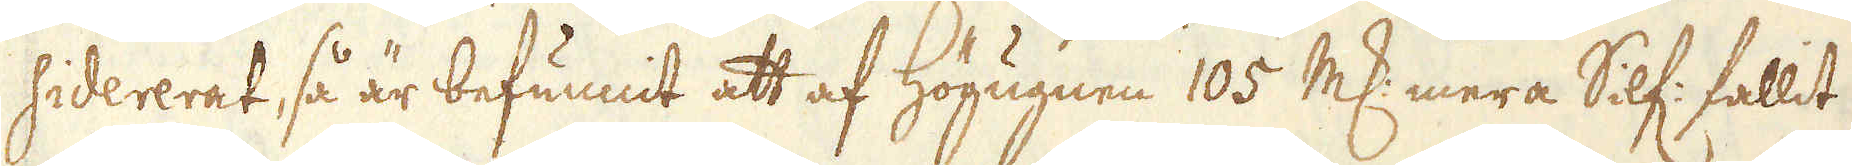sidererat, så är befunnit att af Högugnen 105 marker mera Silf: fallit
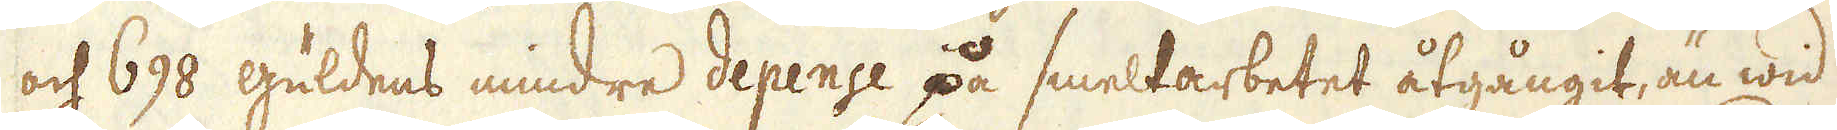och 698 guldens mindre depence på smeltarbetet åtgångit, än wid
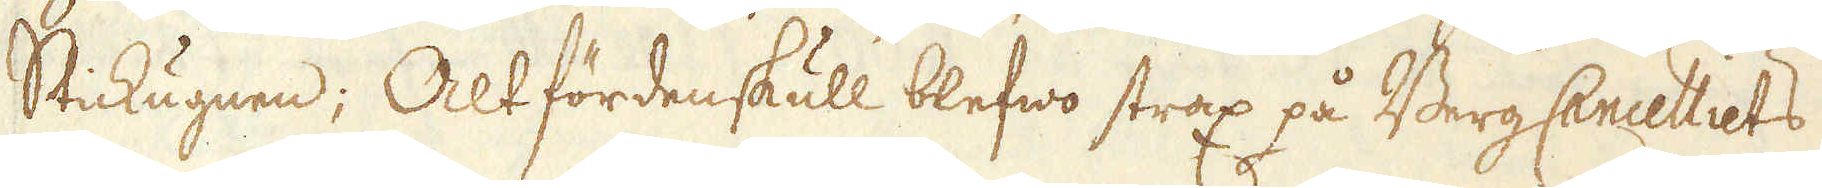Stickugnen; Altfördenskull blefwo strax på Berg Cencelliets
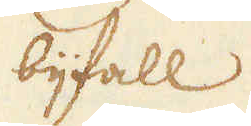bijfall
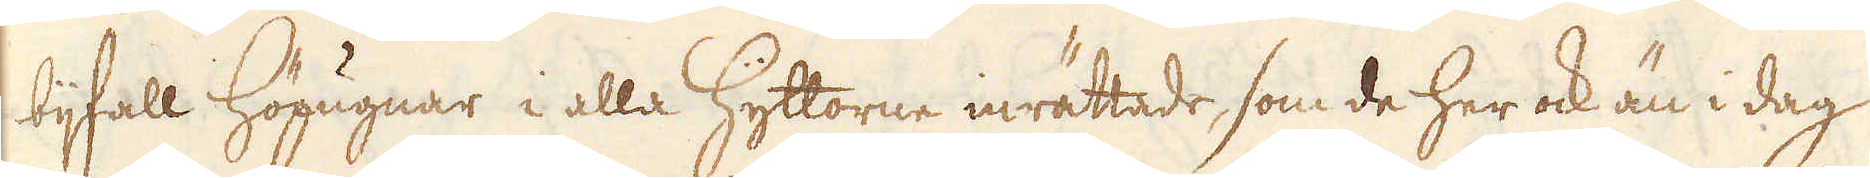bijfall Högugnar i alla Hyttorne inrättade, som de her ock än i dag
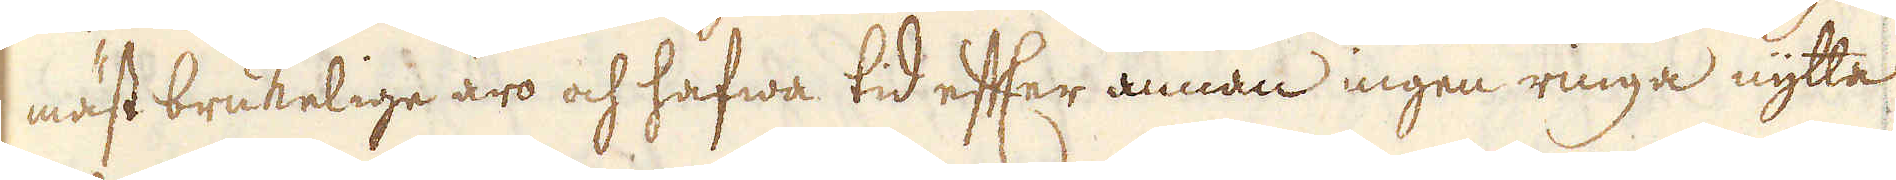mäst brukelige äro och hafwa tid efter annan ingen ringa nytta
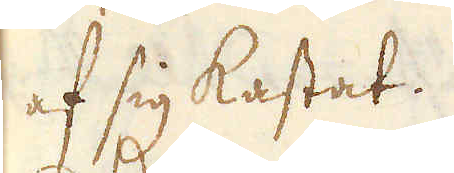af sig kastat.
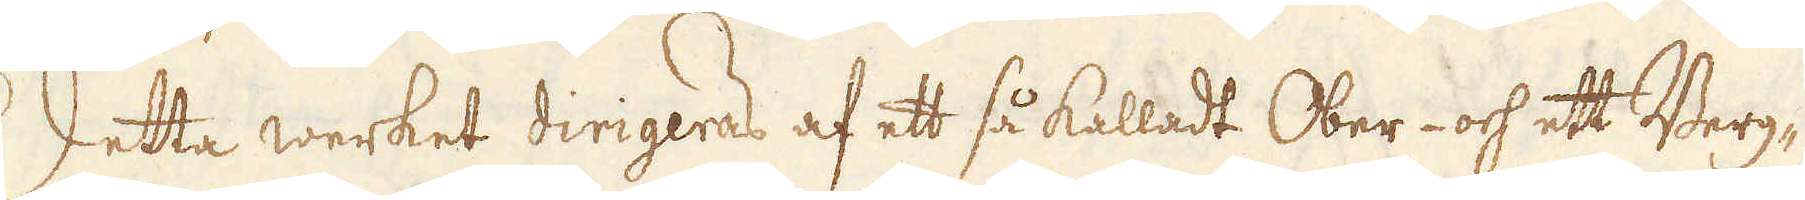Detta werket dirigeras af ett så kalladt Ober- och ett Berg-
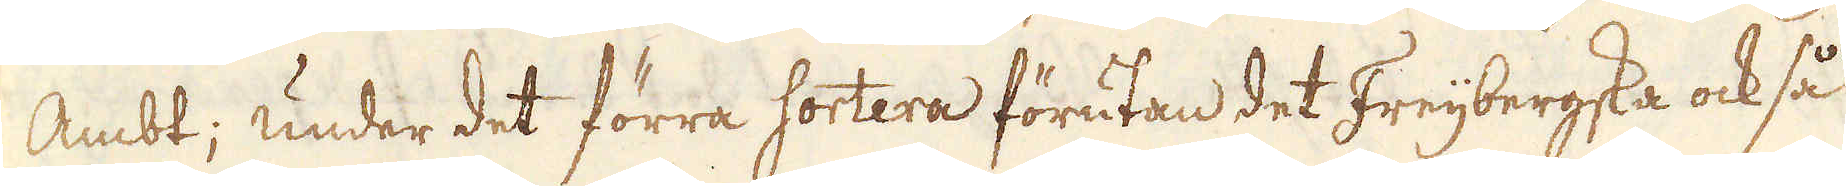Ambt; under det förra sortera förutan det Freijbergska ock så
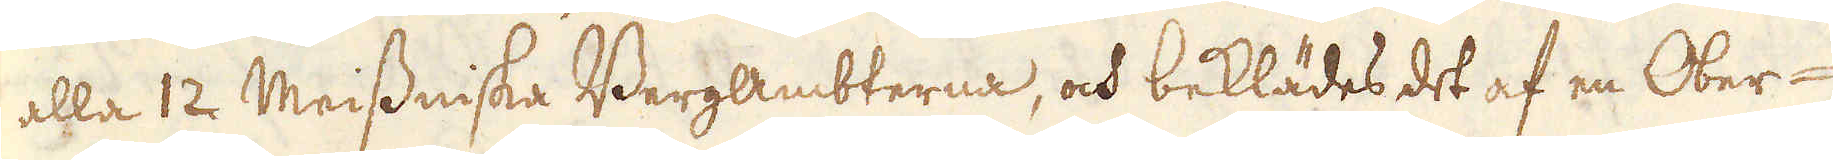alla 12 Meissniska Bergambterna, och beklädes det af en Ober-
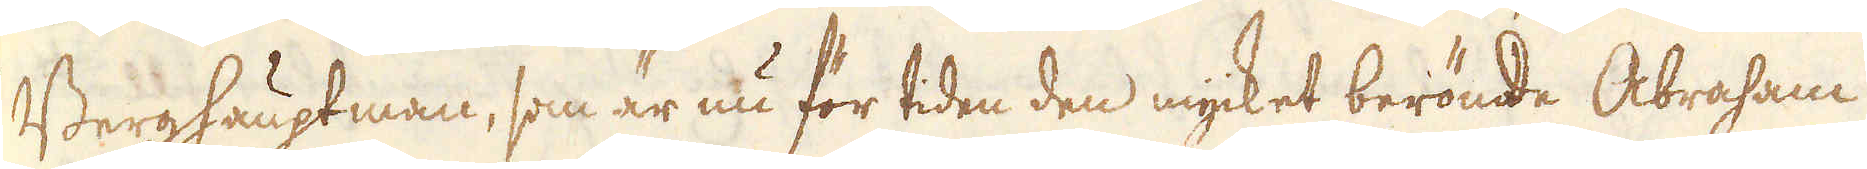Berghauptman, som är nu för tiden den mycket berömde Abraham
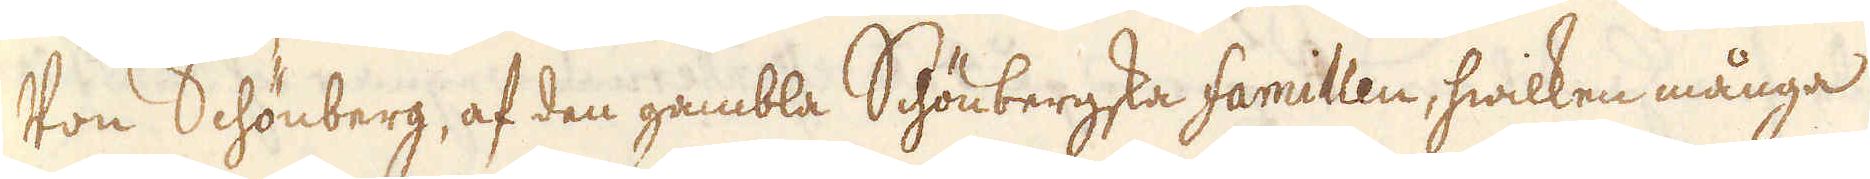Von Schönberg, af den gambla Schönbergska famillen, hwilken många
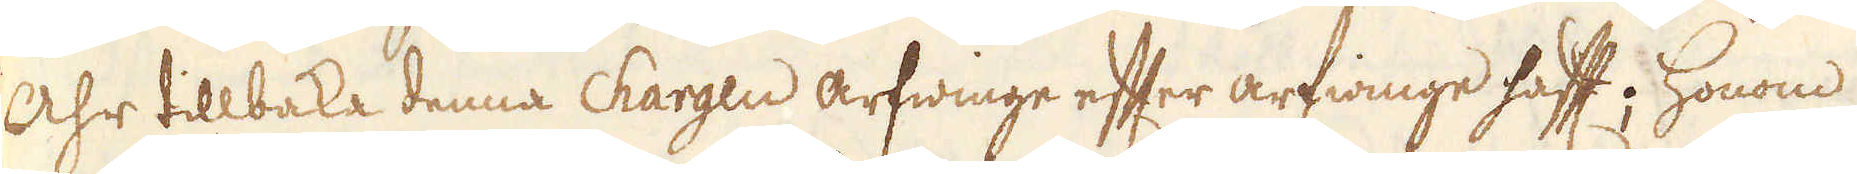åhr tillbaka denna chargen arfwinge efter arfwinge hafft; honom
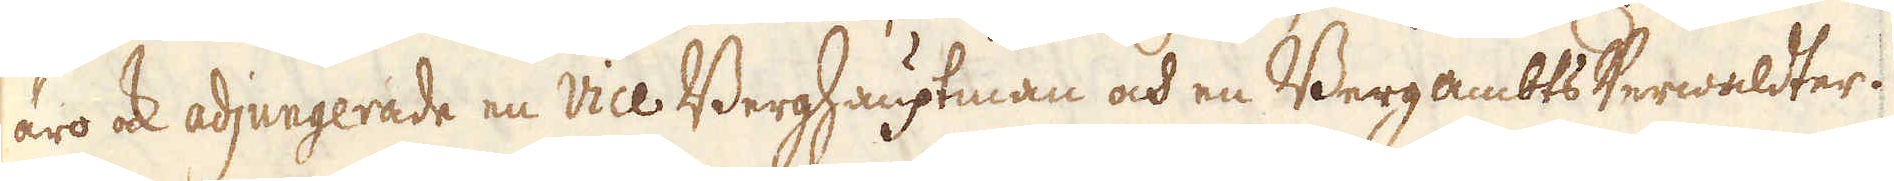äro ock adjungerade en Vice Berghauptman och en Bergambts Verwaldter.
